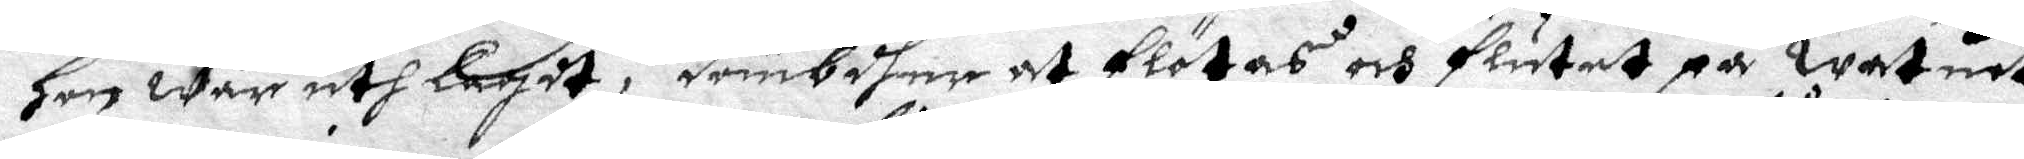hon war uthlagdt, dömbdher at flötas och flutit på watnet
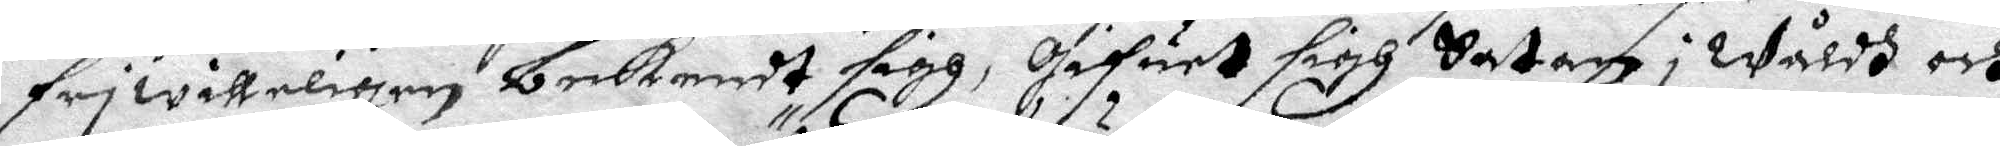friwilleligen bekendt sigh, Gifuet sigh Satan i wåldh och
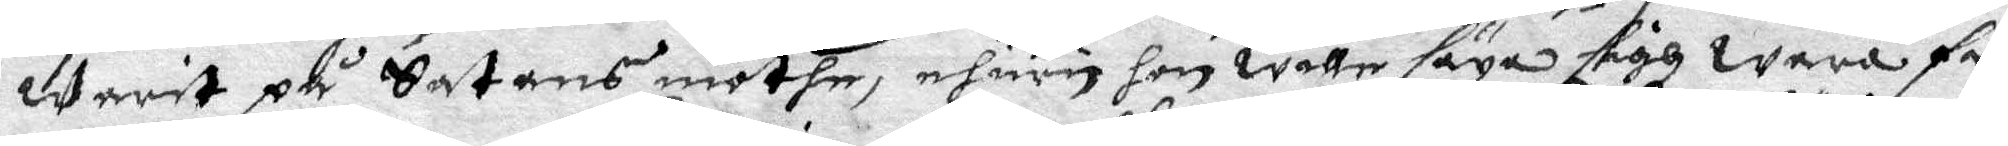warit på Satans möthe, ehuru hon wille säga sigh wara fri
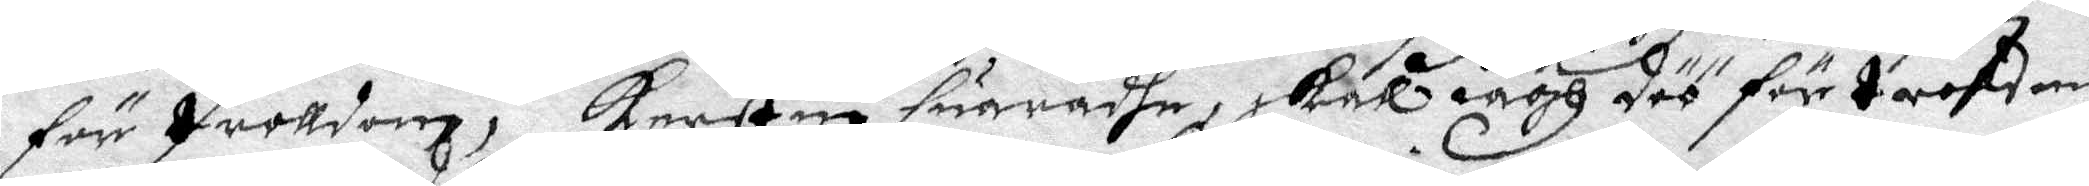för trolldom, Kerstin suaradhe, skall iagh döö för troldom
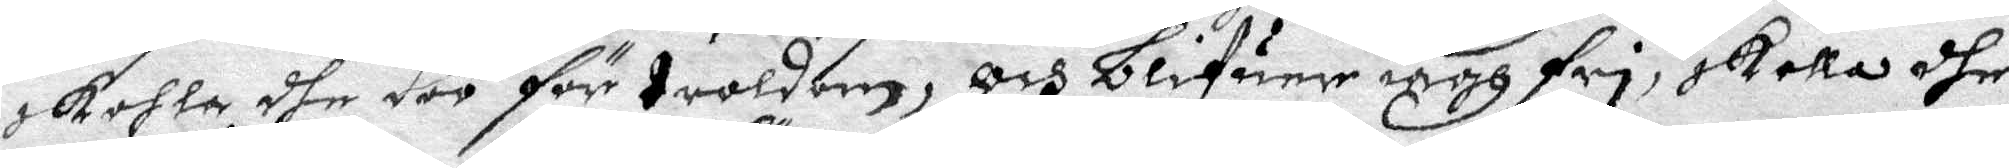skolla dhe döö för troldom, och blifuer iagh fri skolla dhe
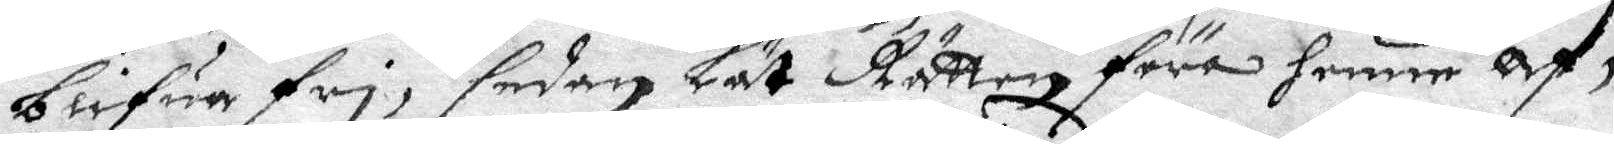blifua fri, sedan Lät Rätten föra henne Af.
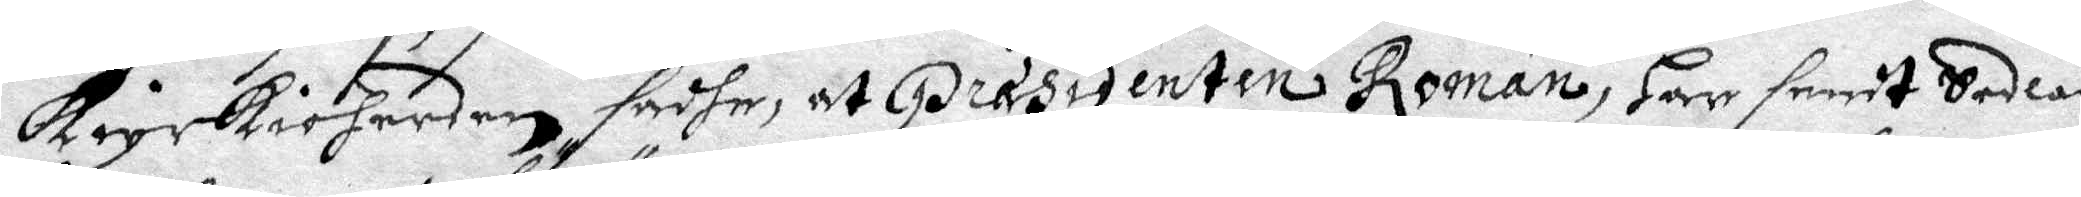kyrkioherden sadhe, at Presidenten Roman, Har sendt Sedlar
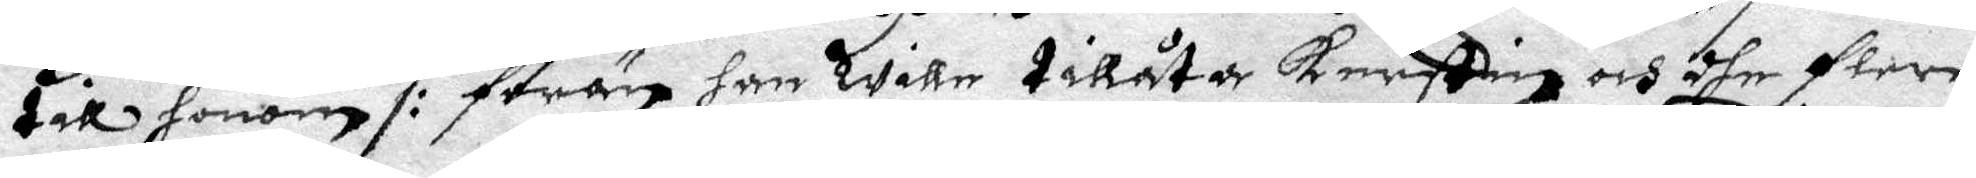till honom /: förän han wille tillåta Kerstin och dhe flere
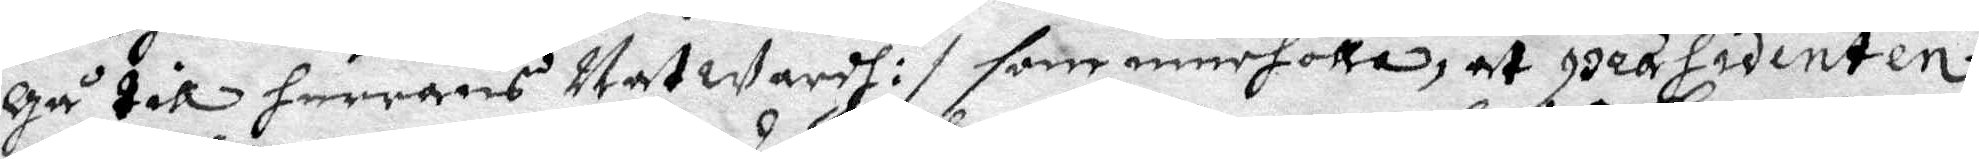Gå till herrans Natwardh :/ som inneholla, at Presidenten
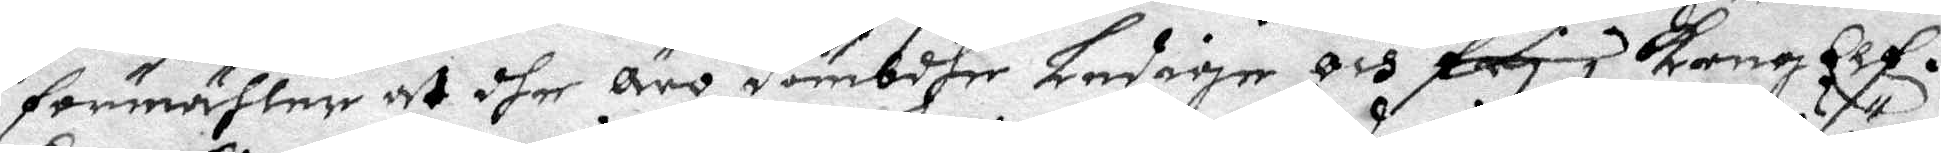förmähler at dhe Äro dömbdhe Ledige och fry i KongElf.
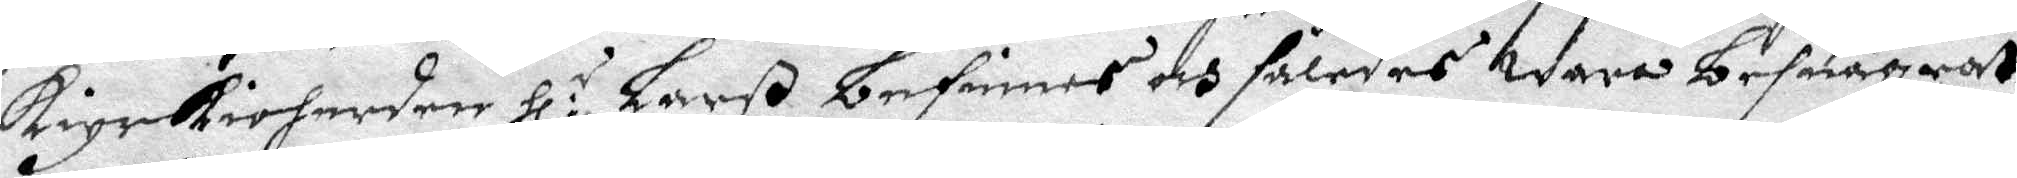kyrkioherden Hl:r Larß befinnes och således wara besuägrat
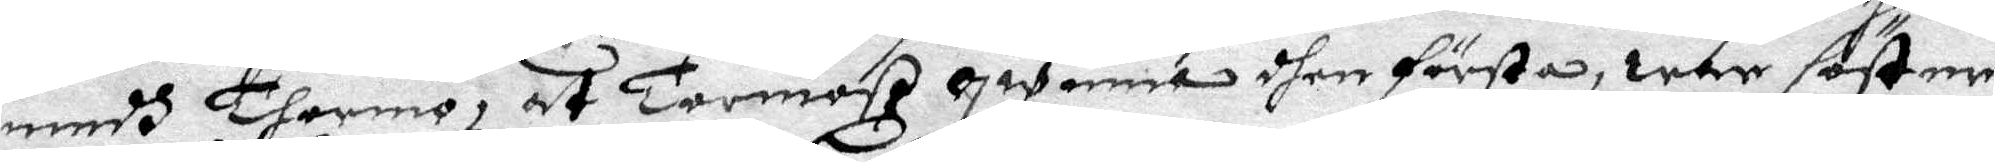medh Thormo, at Thormoß qwinna dhen första, war söster
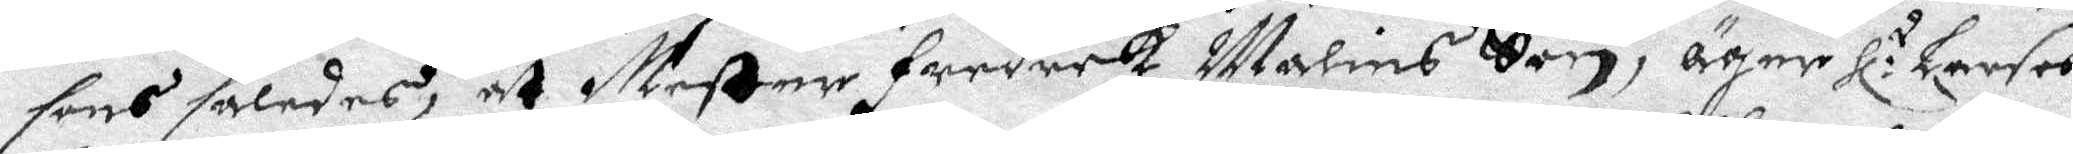sons således, at Mester Fredrek Malins Son, äger Hl:r Larses
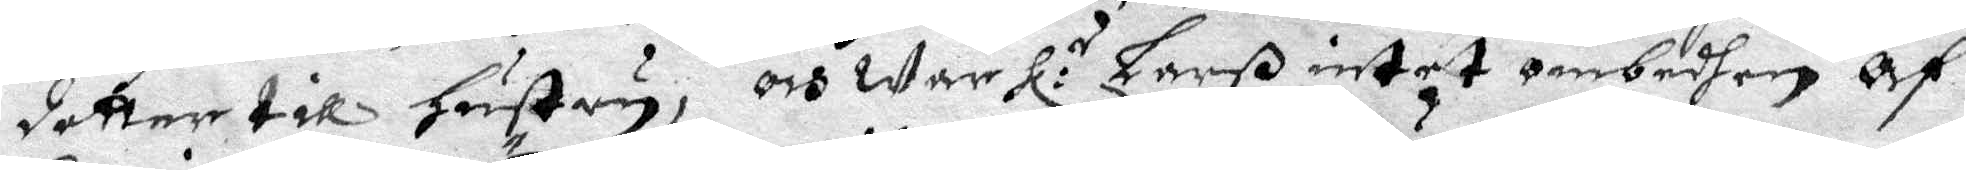dotter till Hustru, och war Hl:r Larß intet ombedhen Af
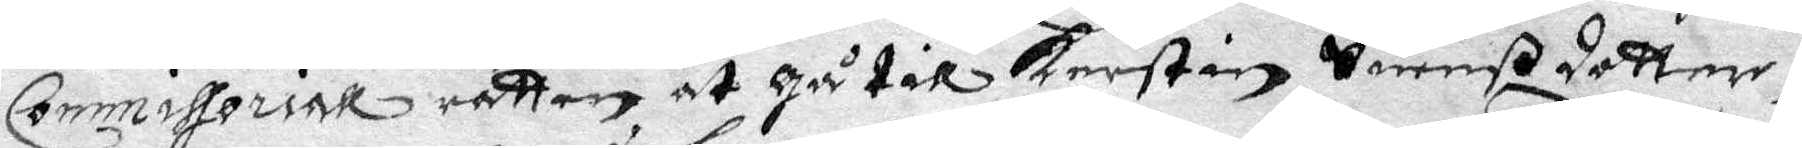Commissoriall rätten at Gå till Kerstin Suenßdotter,
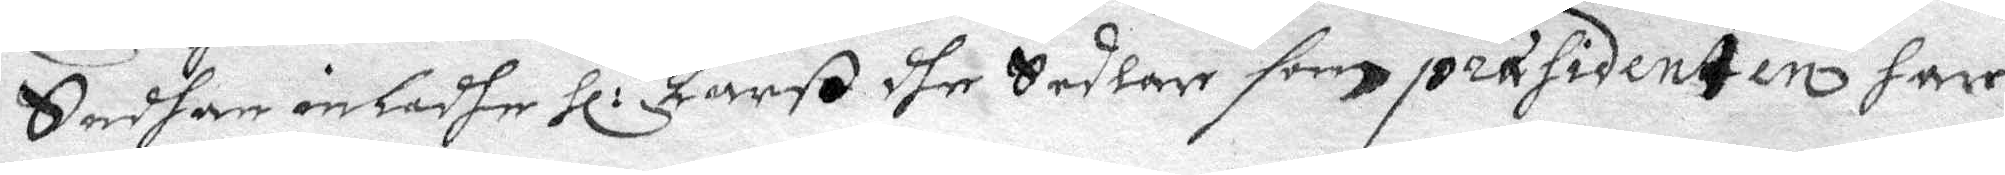Sedhan inladhe Hl:r Larß dhe Sedlar som prasidenten har
